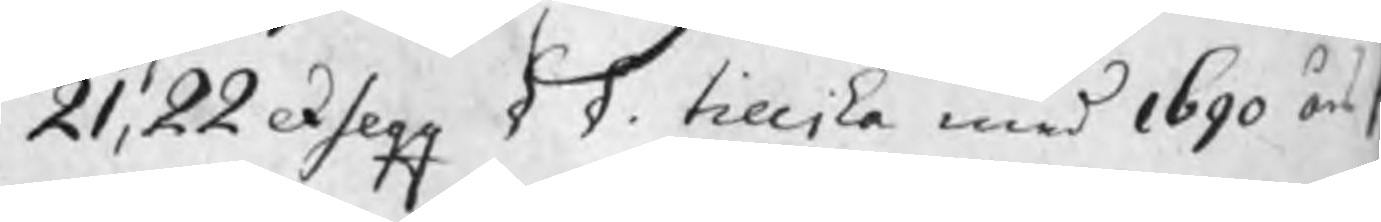21, 22 exseqq § §. tillika med 1690 års
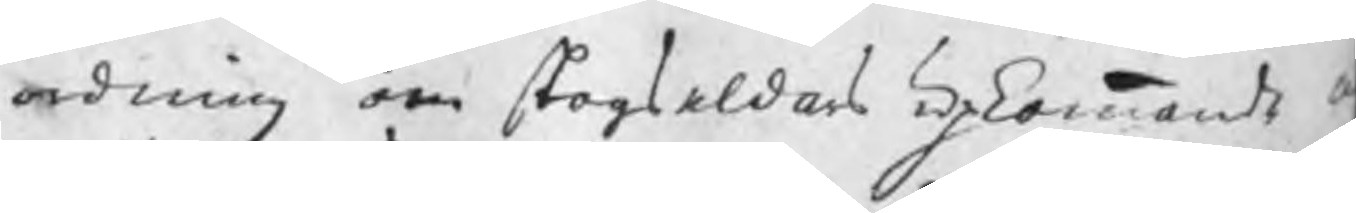ordning om skogseldars upkommande o
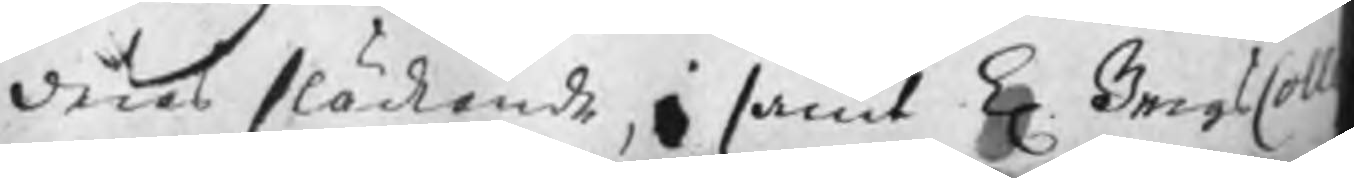deras släckande, samt K. BergsColl
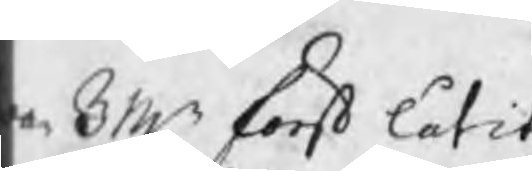ar BMn först låtit
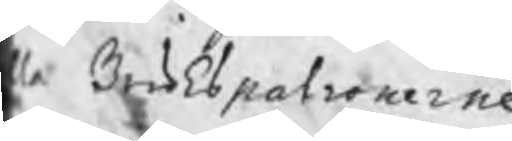le Brukspatronerne
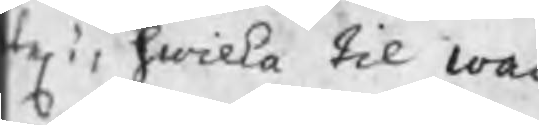tes i, hwilka til wac¬
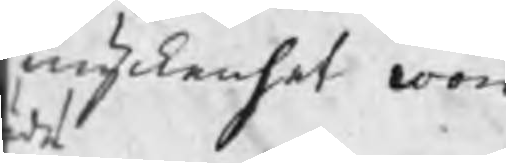myckenhet woro
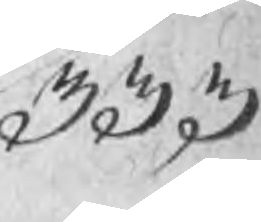333
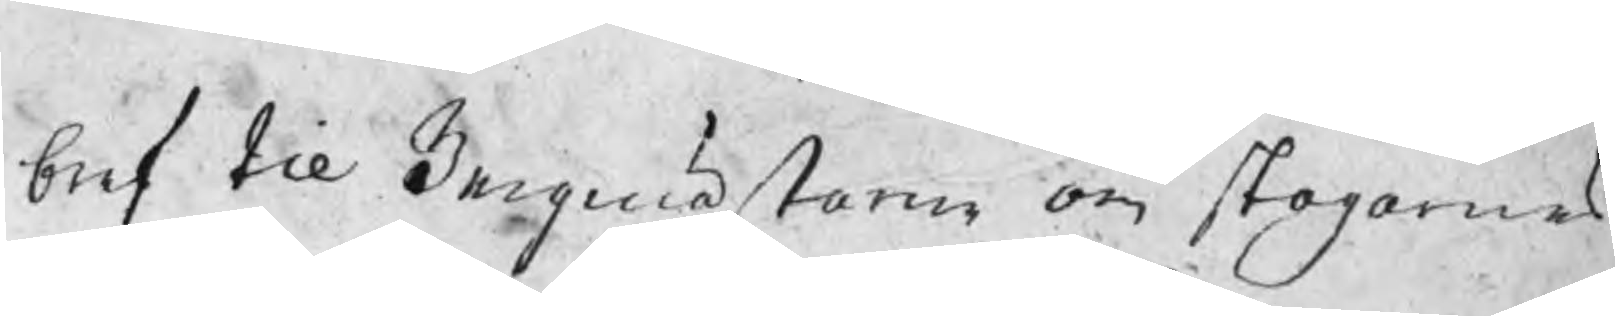bref til Bergmästaren om skogarnes
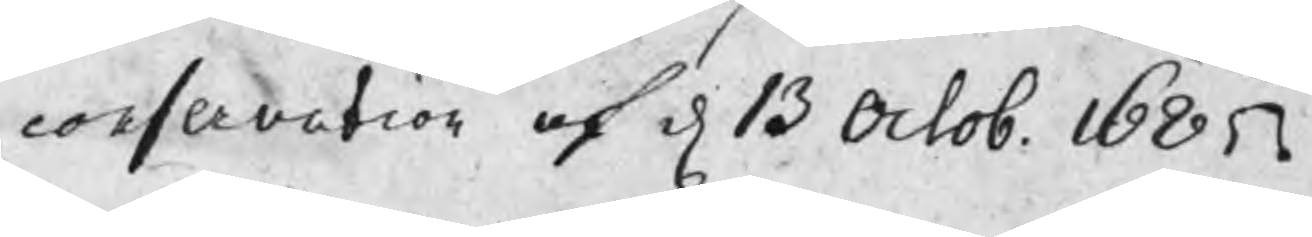conservation af d 13 Octob. 1685.
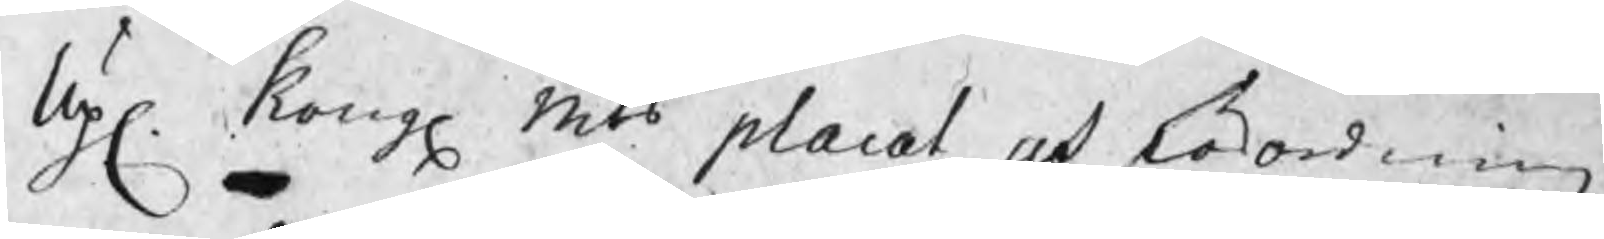Up. Kong. Mts placat och förordning
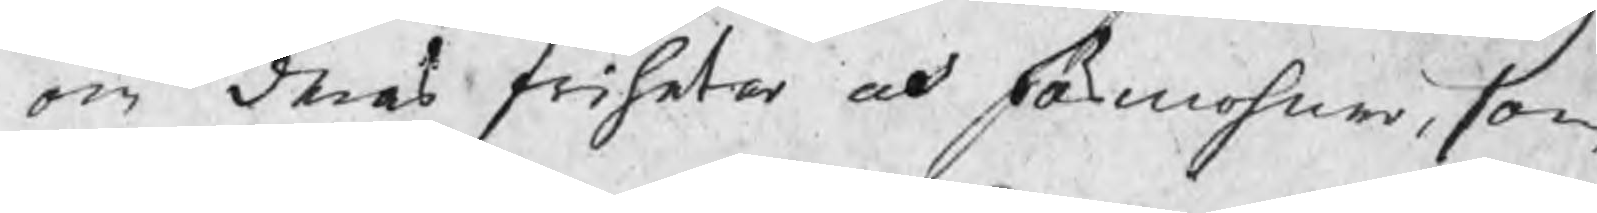om deras friheter och förmohner, som
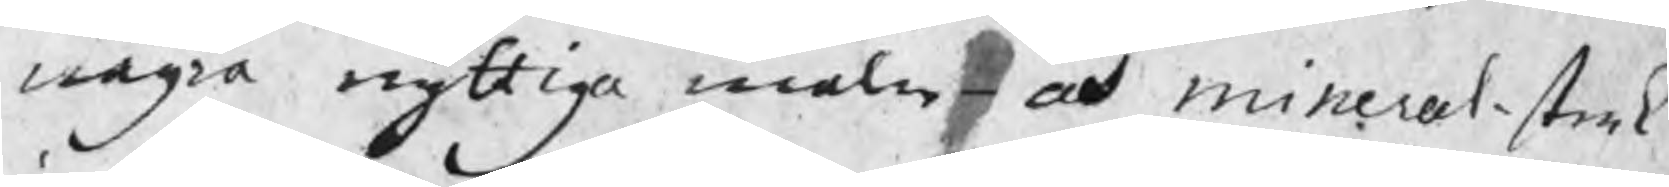några nyttiga malm- och mineral-strek
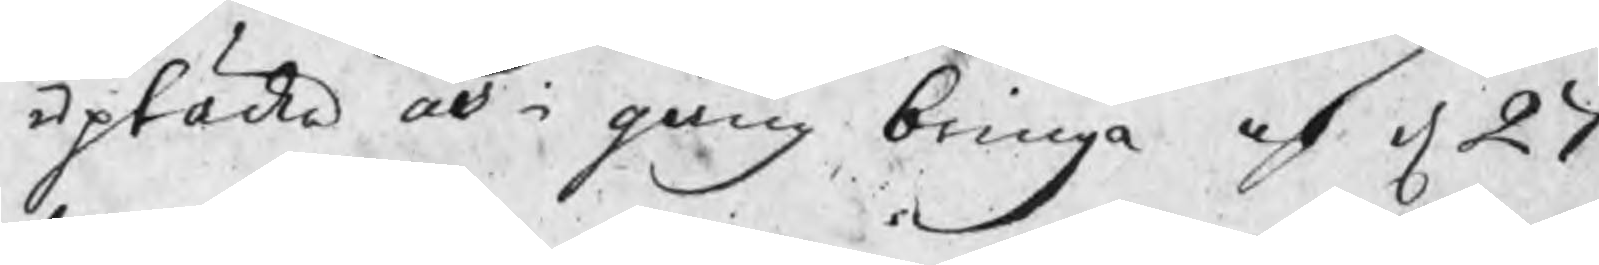uptäcka och i gång bringa af d. 27
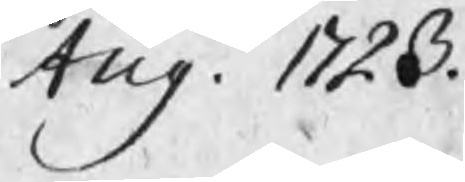Aug. 1723.
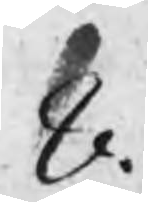8.
